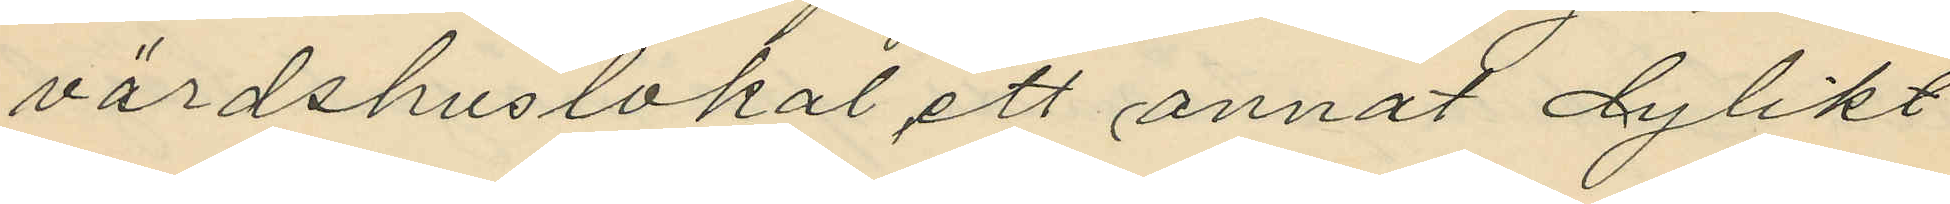värdshuslokal ett annat dylikt
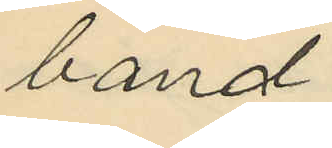band.
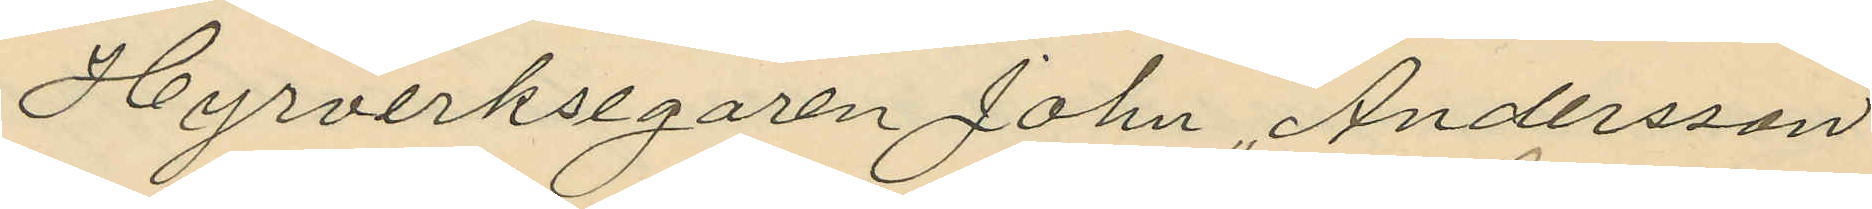Hyrverksegaren John Andersson
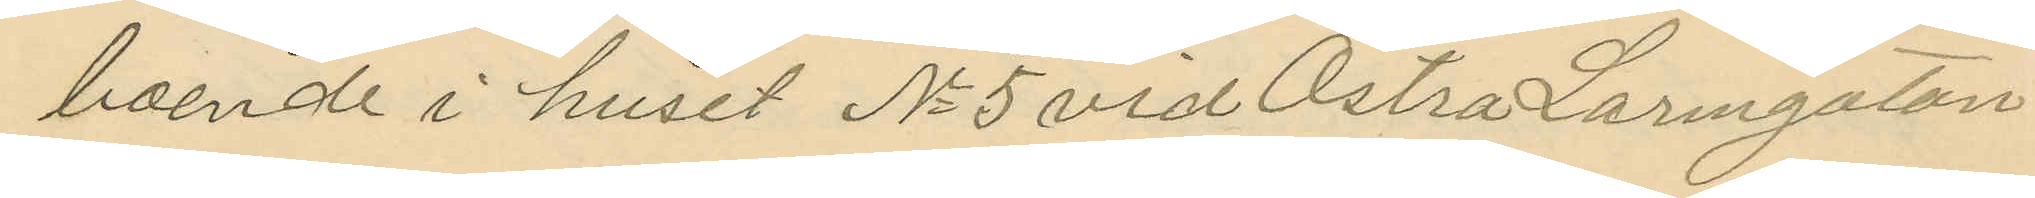boende i huset No 5 vid Östra Larmgatan
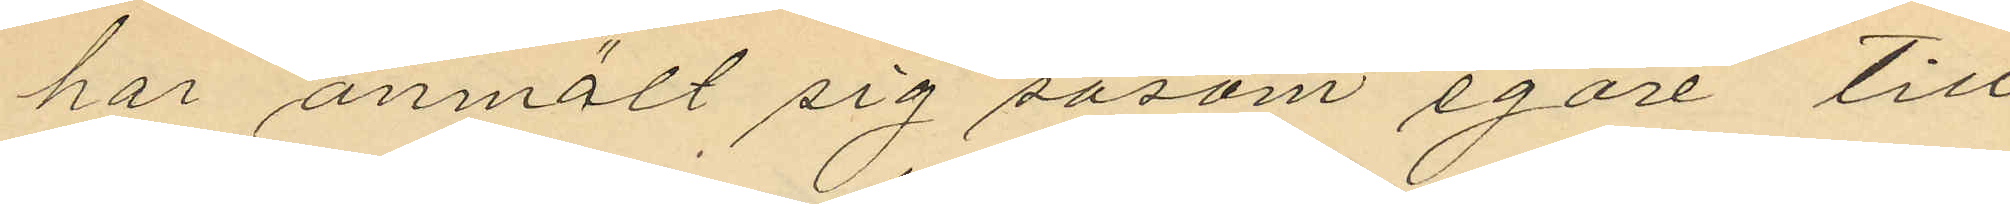har anmält sig såsom egare till
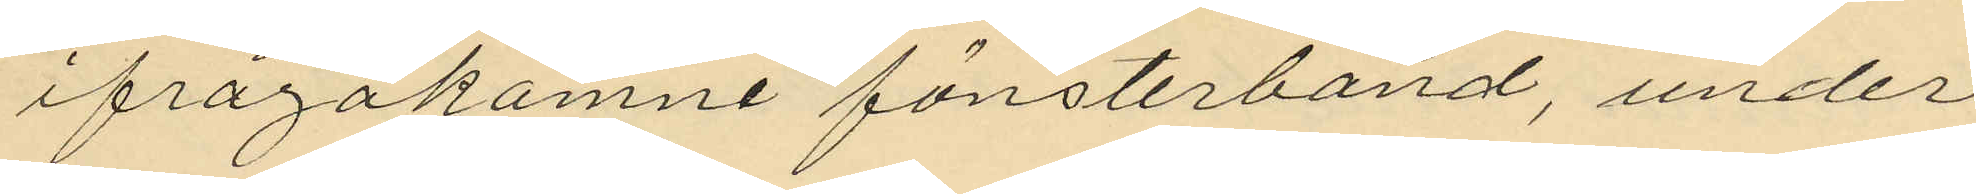ifrågakomne fönsterband, under
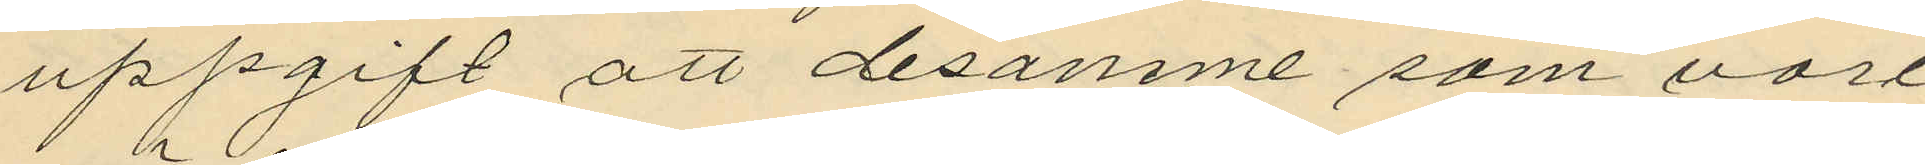uppgift att desamme som vore
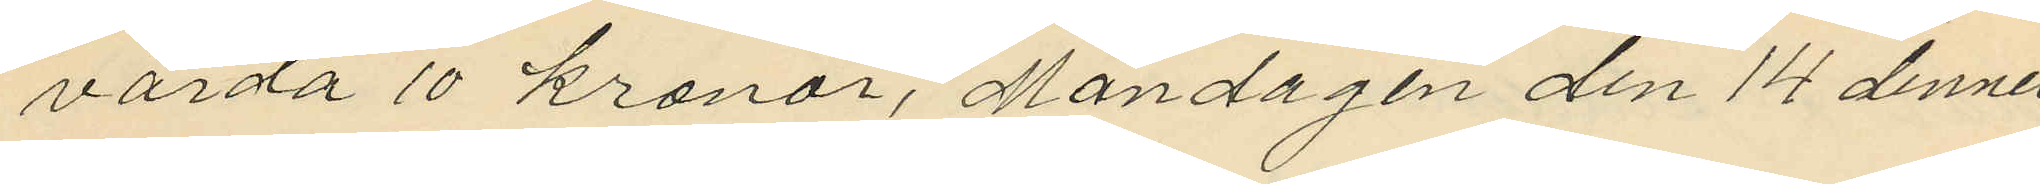värda 10 kronor, Måndagen den 14 dennes
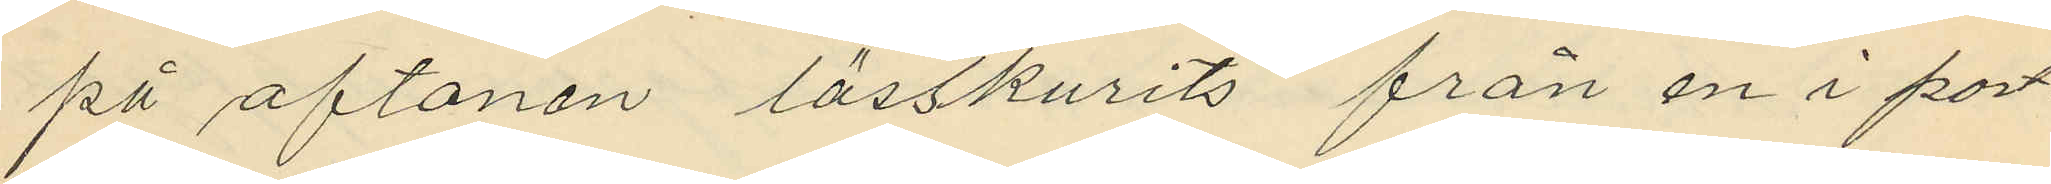på aftonen lösskurits från en i port¬
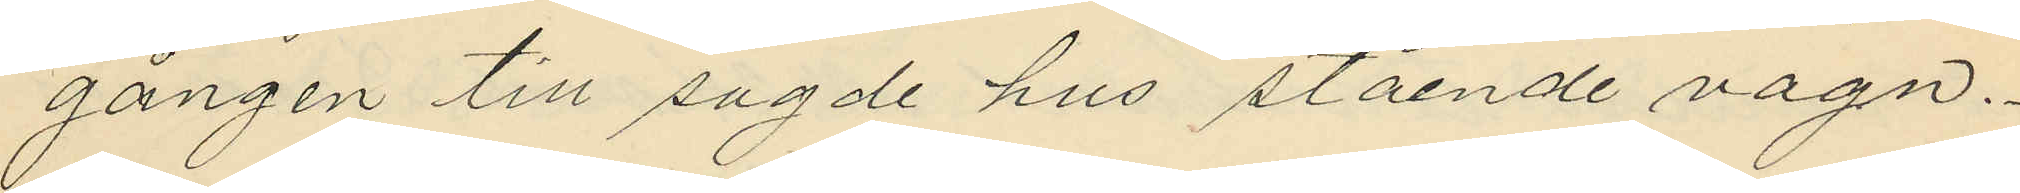gången till sagde hus stående vagn.
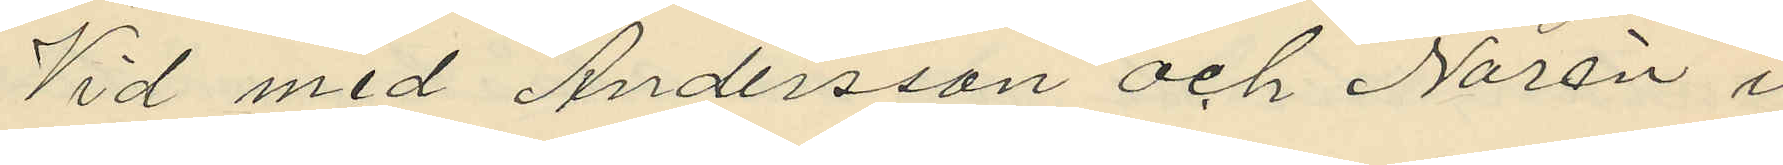Vid med Andersson och Norén i
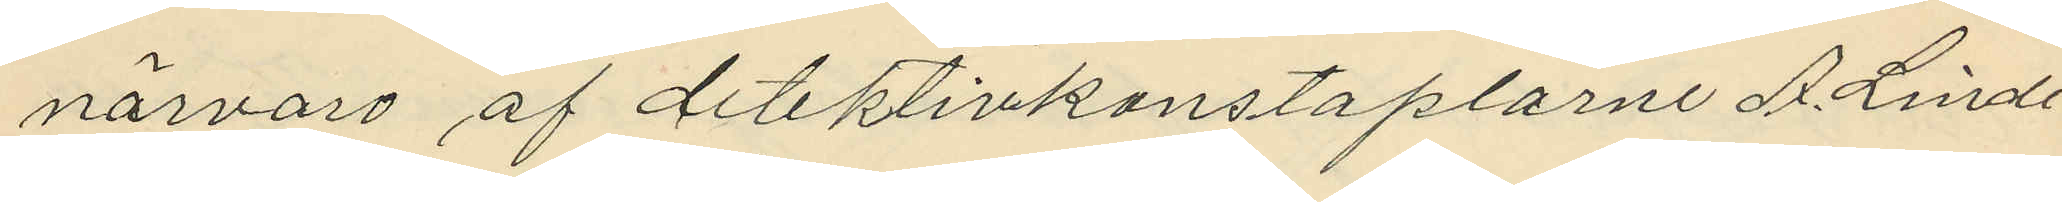närvaro af detektivkonstaplarne A. Linde¬
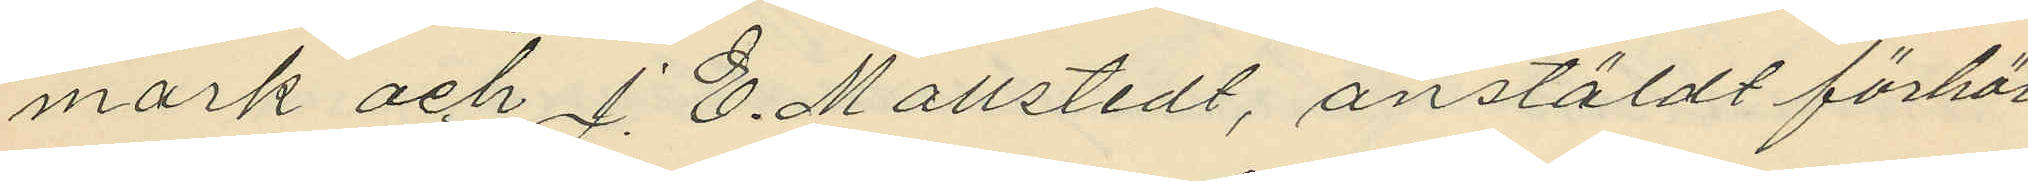mark och J. E. Mollstedt, anstäldt förhör
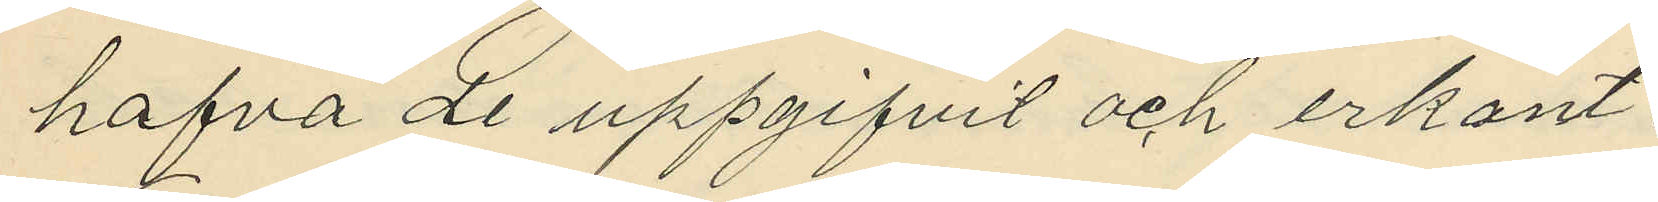hafva de uppgifvit och erkant:
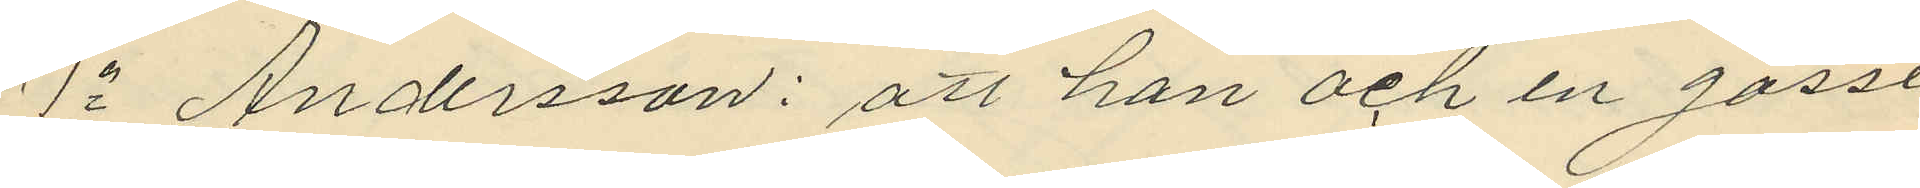1o Andersson: att han och en gosse
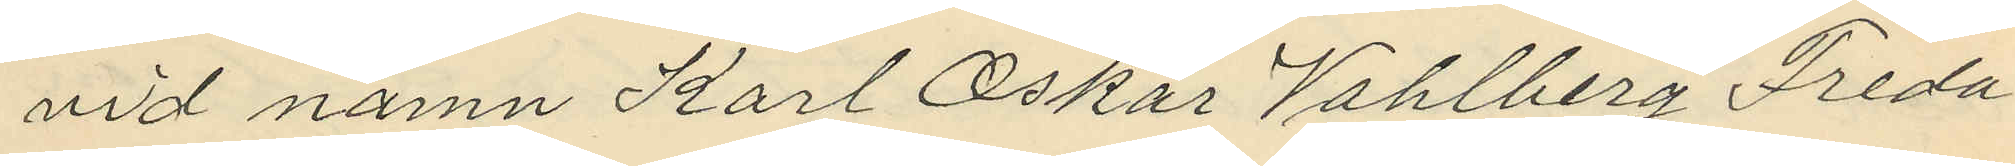vid namn Karl Oskar Vahlberg Freda¬
